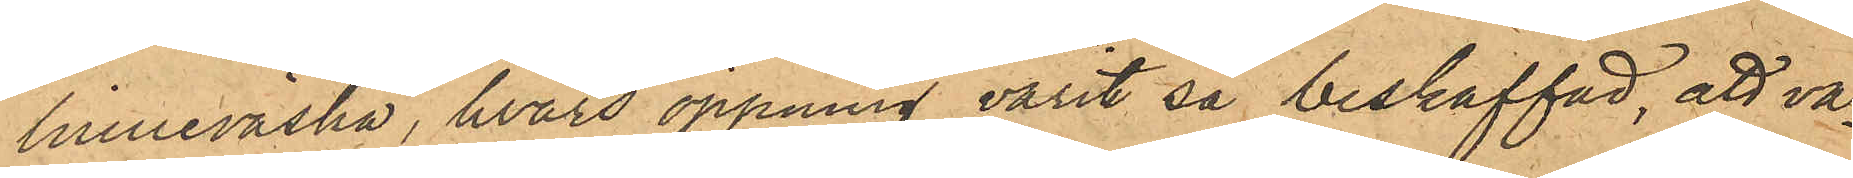linneväska, hvars öppning varit så beskaffad, att va¬
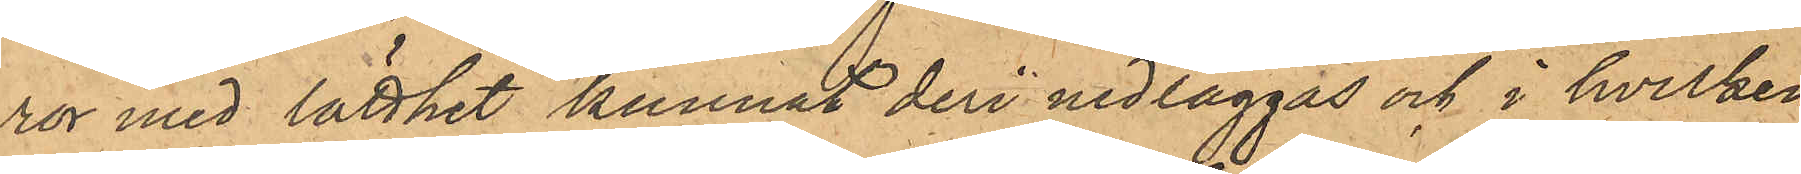ror med lätthet kunnat deri nedläggas och i hvilken
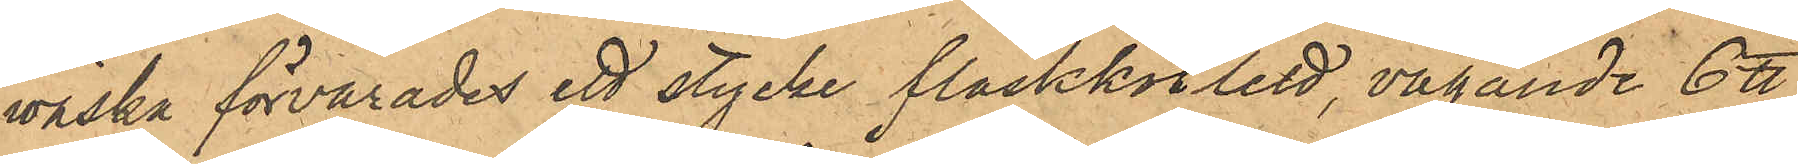väska förvarades ett stycke fläskkotlett, vägande 6 ℔
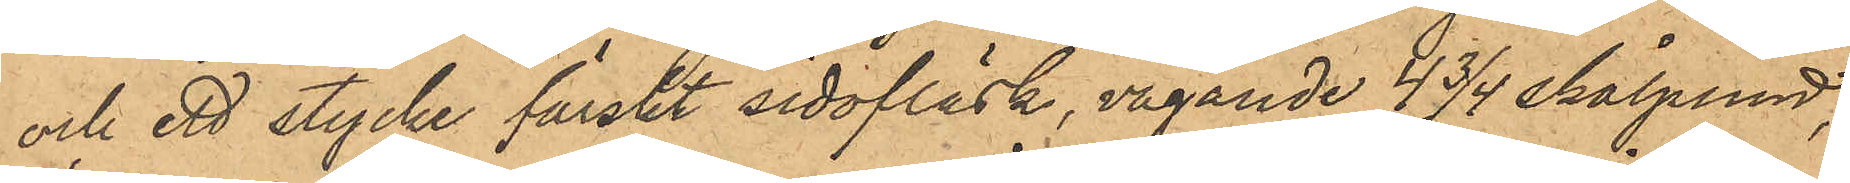och ett stycke färskt sidofläsk, vägande 4 3/4 skålpund,
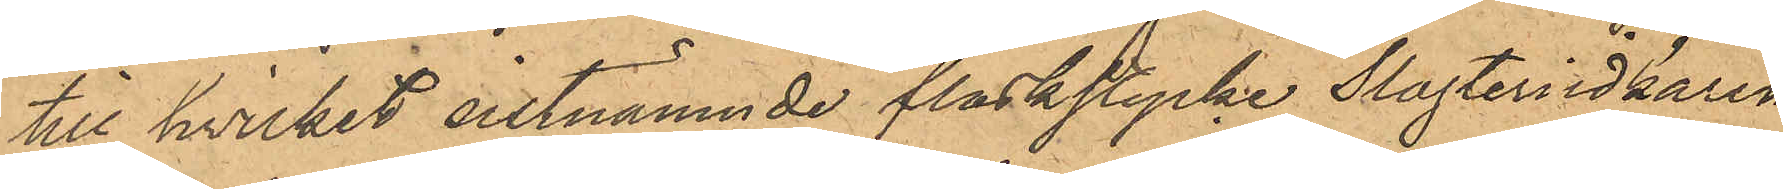till hvilket sistnämnde fläskstycke Slagteriidkaren
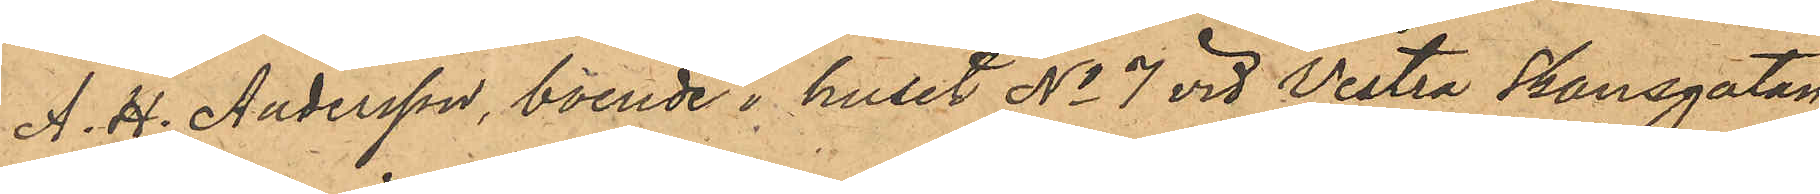A. H. Andersson, boende i huset No 7 vid Vestra Skansgatan
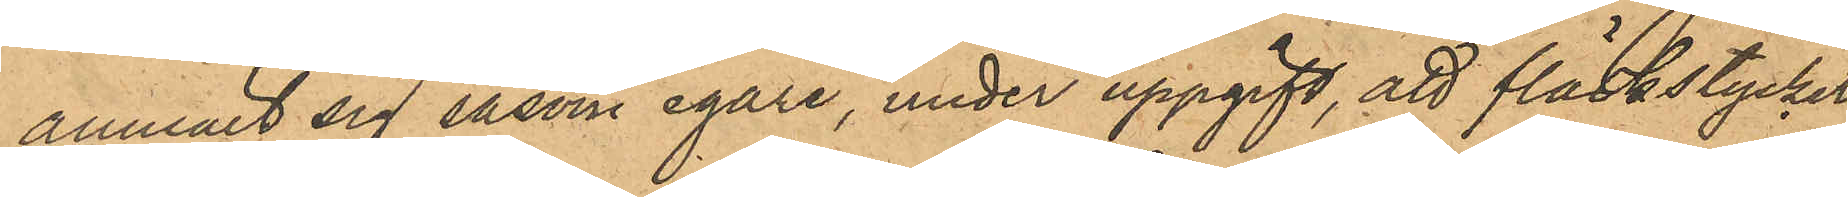anmält sig såsom egare, under uppgift, att fläskstycket
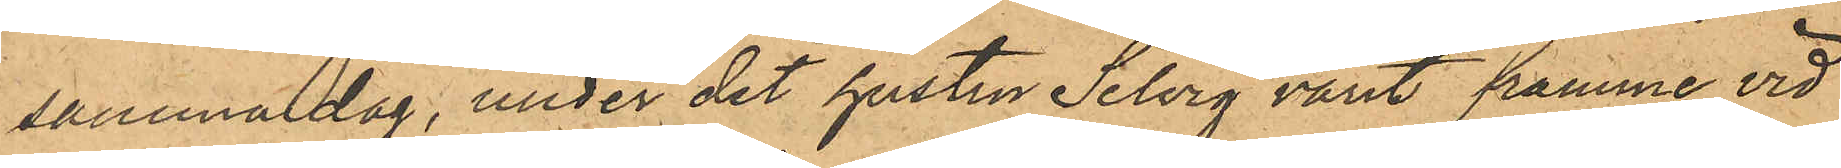samma dag, under det hustru Selvig varit framme vid
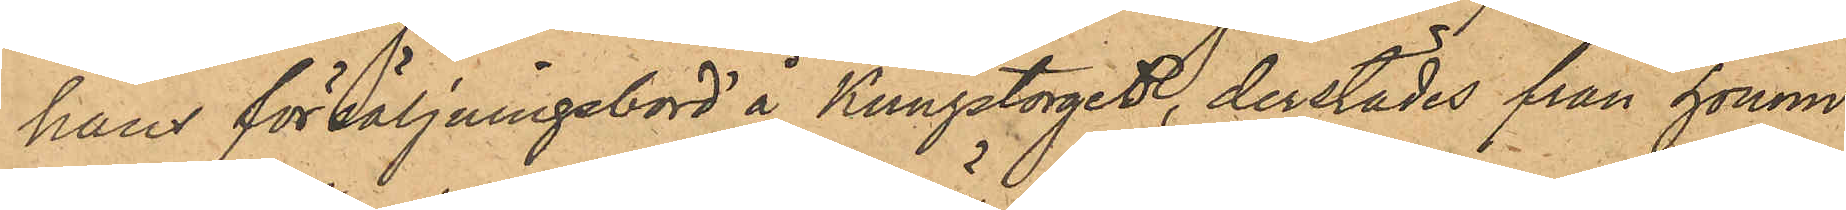hans försäljningsbord å Kungstorget, derstädes från honom
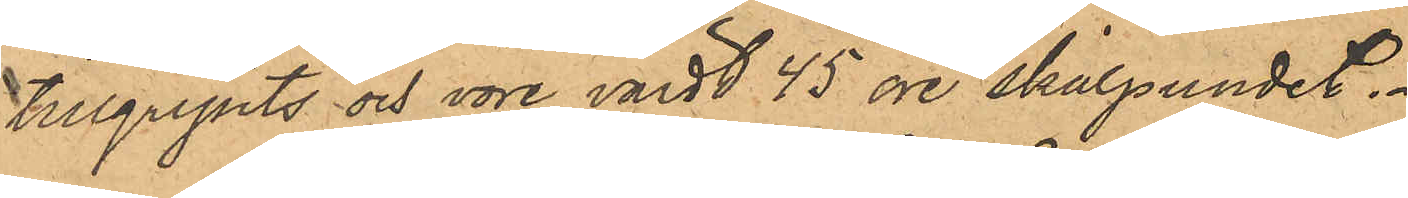tillgripits och vore värdt 45 öre skålpundet.
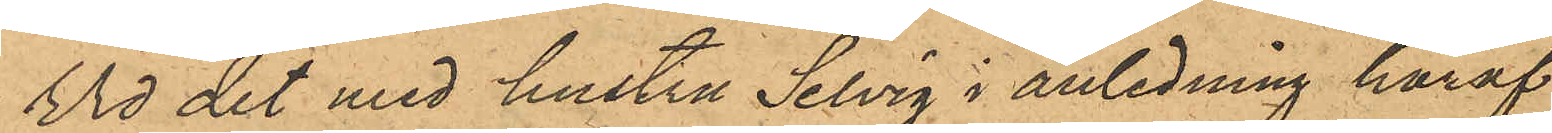Vid det med hustru Selvig i anledning häraf
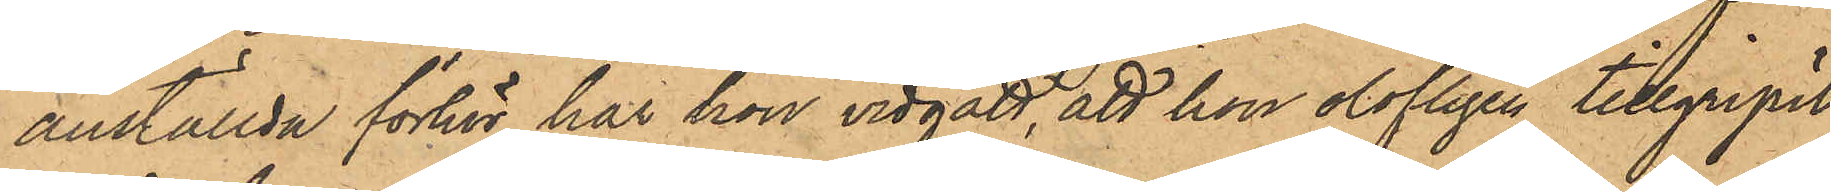anställda förhör har hon vidgått, att hon olofligen tillgripit
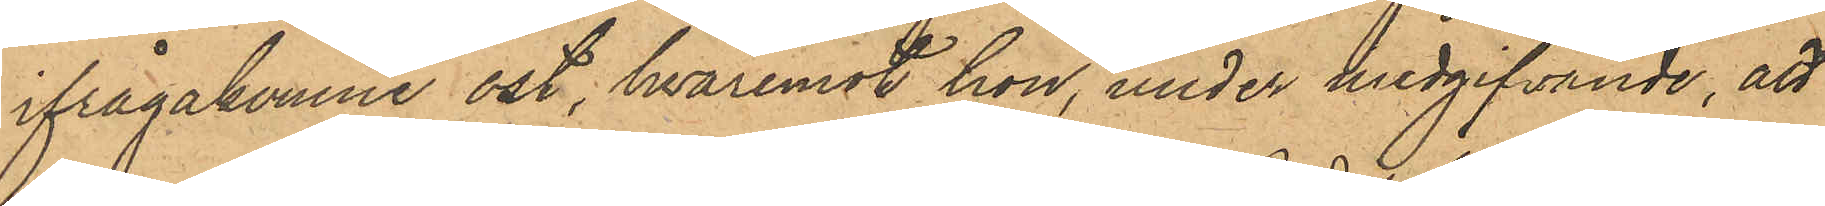ifrågakomne ost, hvaremot hon, under medgifvande, att
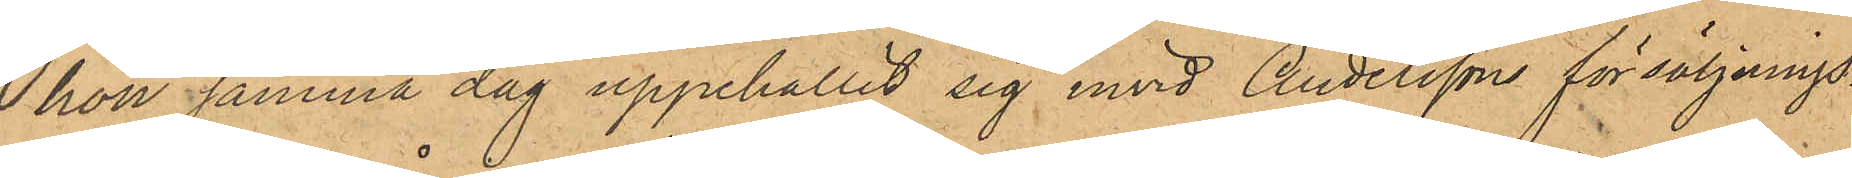hon samma dag uppehållit sig invid Anderssons försäljnings¬
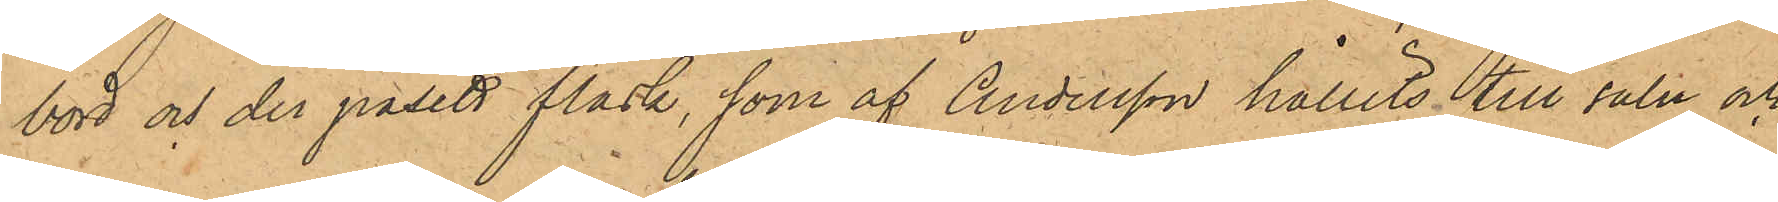bord och der påsett fläsk, som af Andersson hållits till salu och
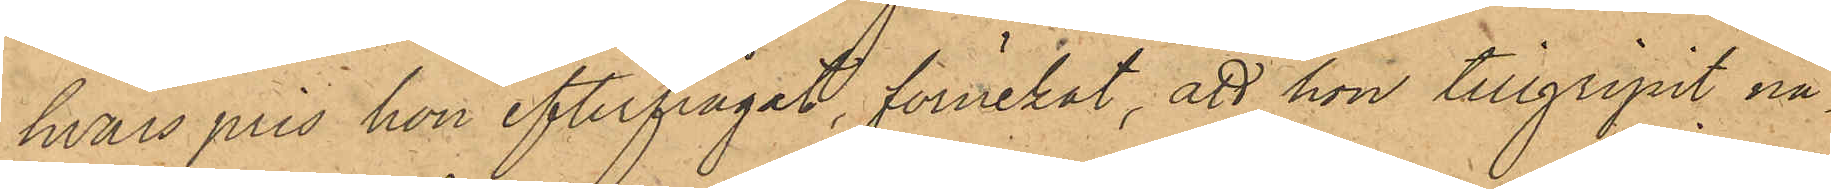hvars pris hon efterfrågat, förnekat, att hon tillgripit nå¬
